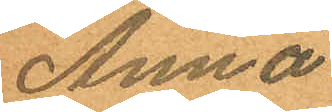Anna
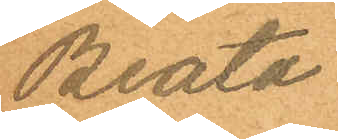Beata
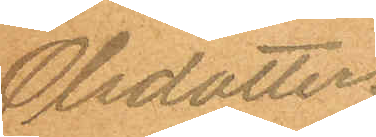Olsdotter.
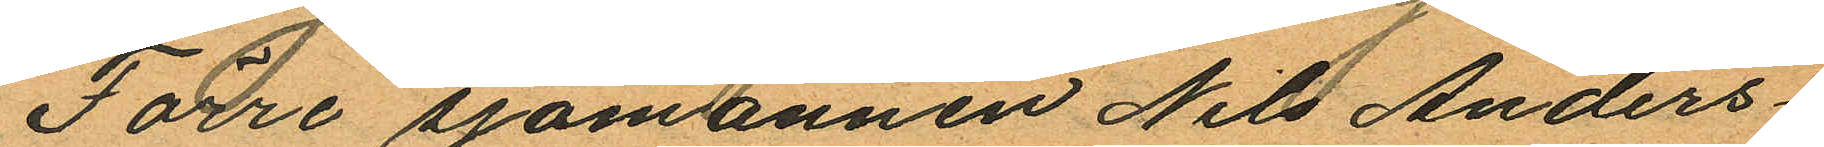Förre sjömannen Nils Anders¬
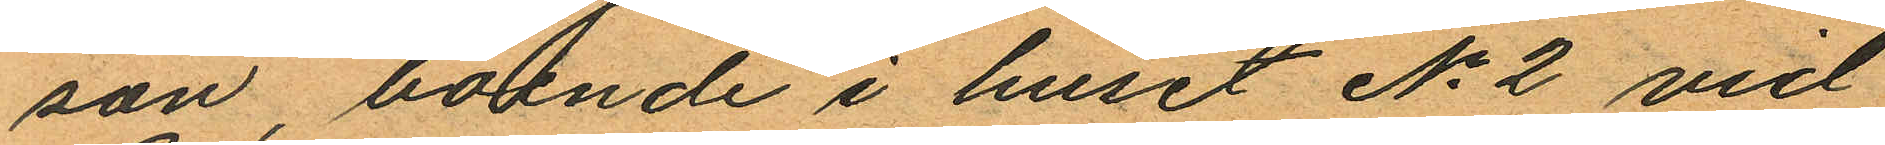son, boende i huset No 2 vid
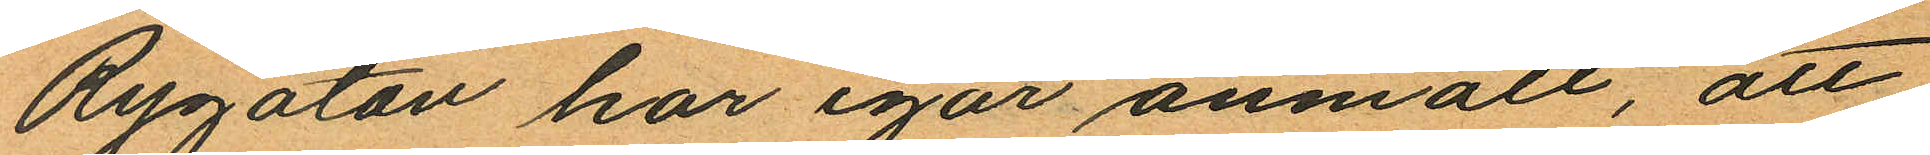Rygatan har igår anmält, att
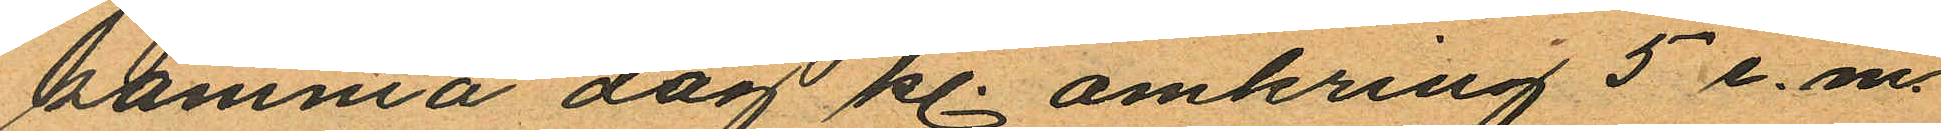samma dag kl. omkring 5 e. m.
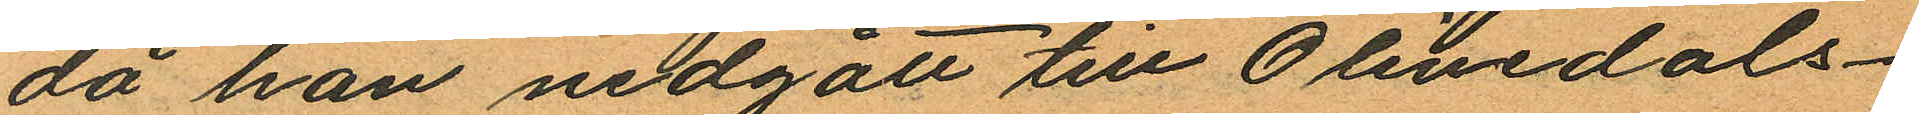då han nedgått till Olivedals¬
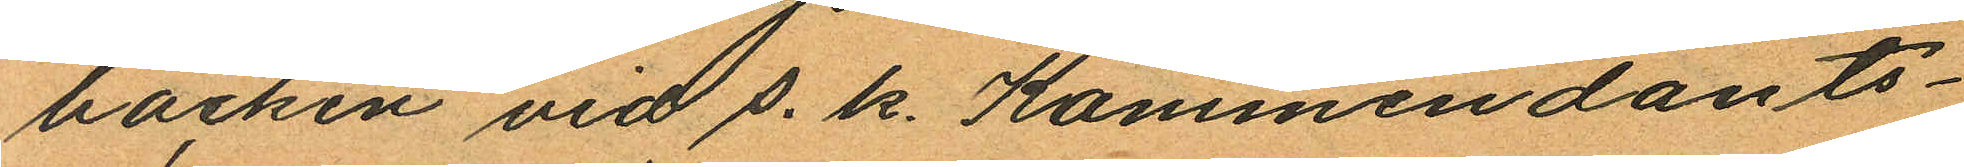bäcken vid s. k. Kommendants¬
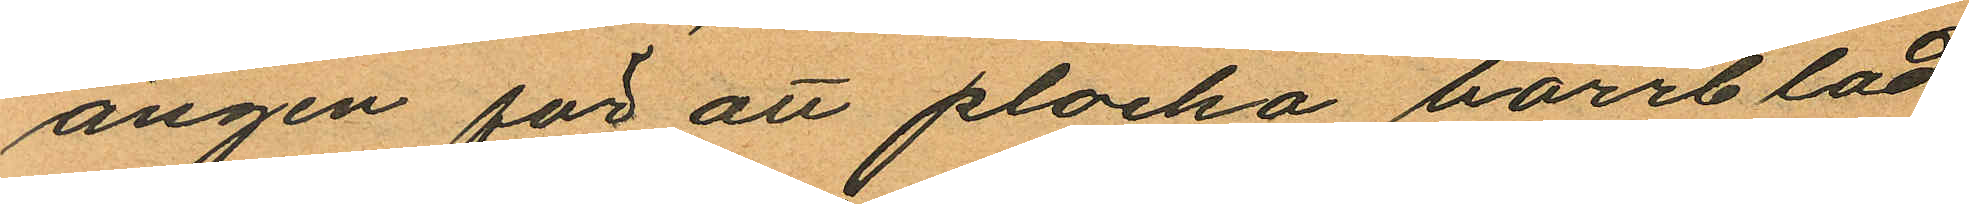ängen för att plocka barrblad
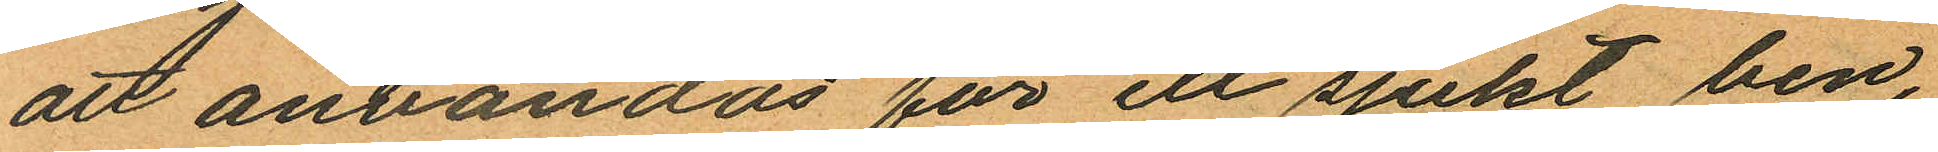att användas för ett sjukt ben,
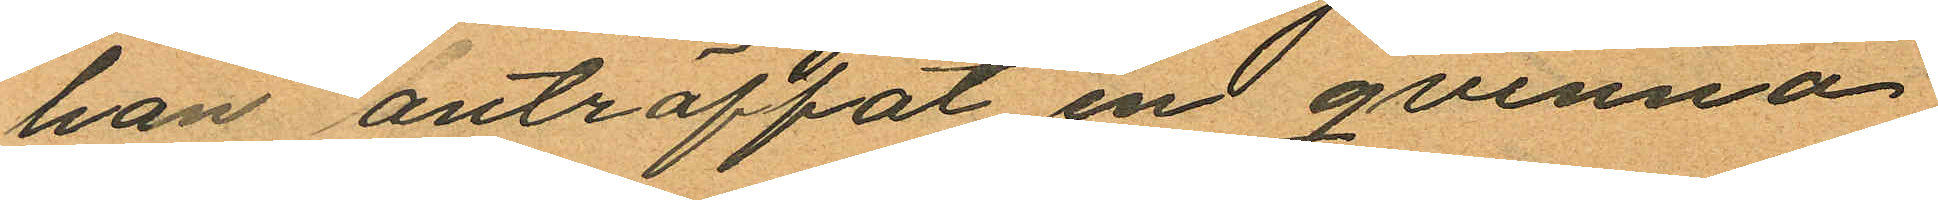han anträffat en qvinna
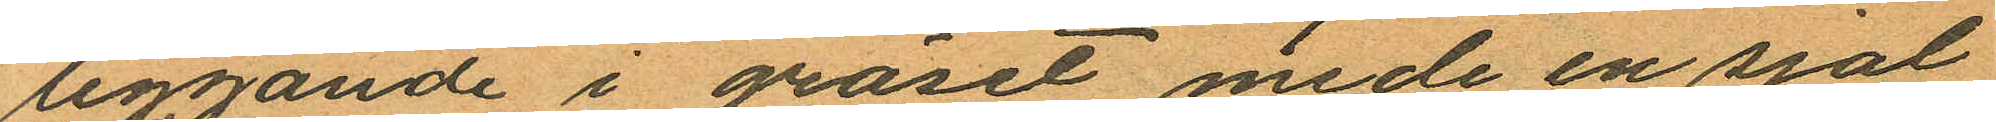liggande i gräset mede en sjal
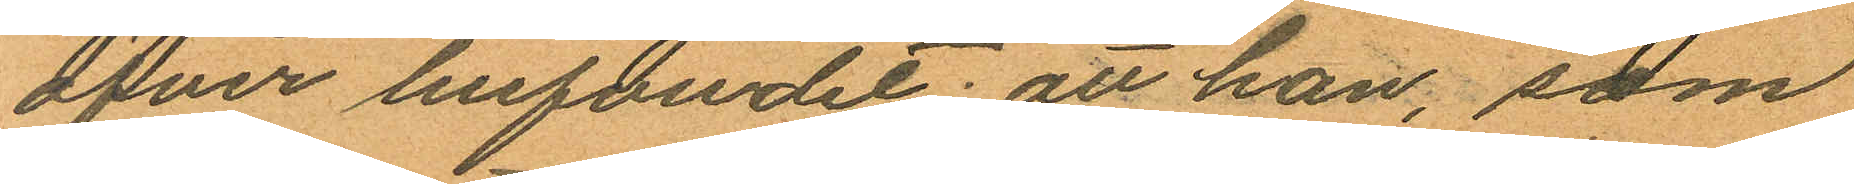öfver hufvudet; att han, som
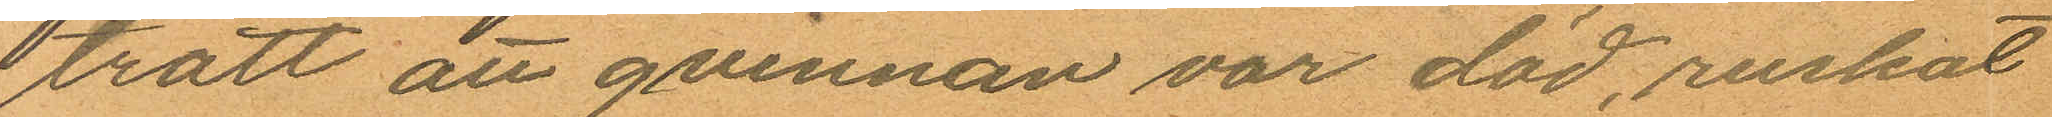trott att qvinnan var död, ruskat
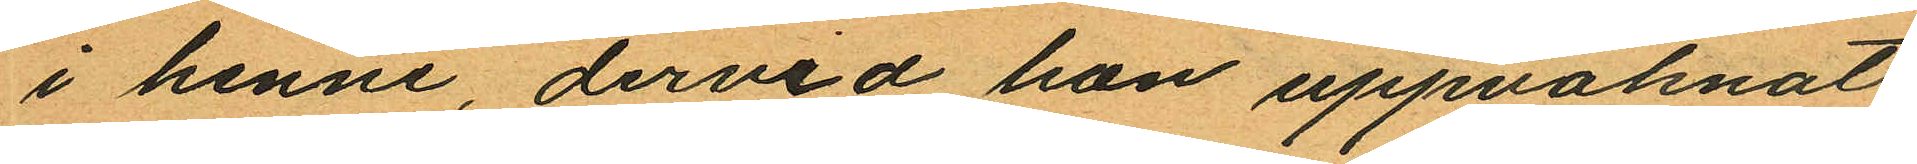i henne, dervid hon uppvaknat
